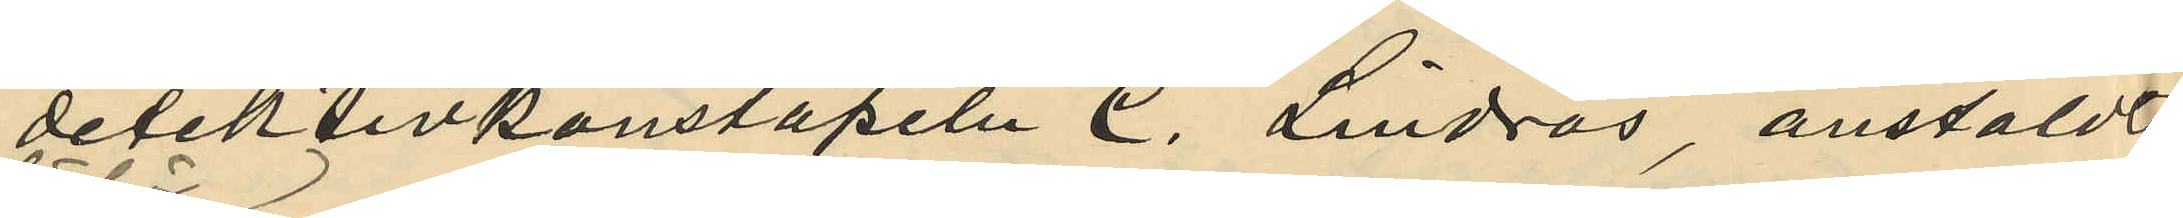detektivkonstapeln C. Lindros, anstäldt
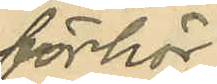förhör
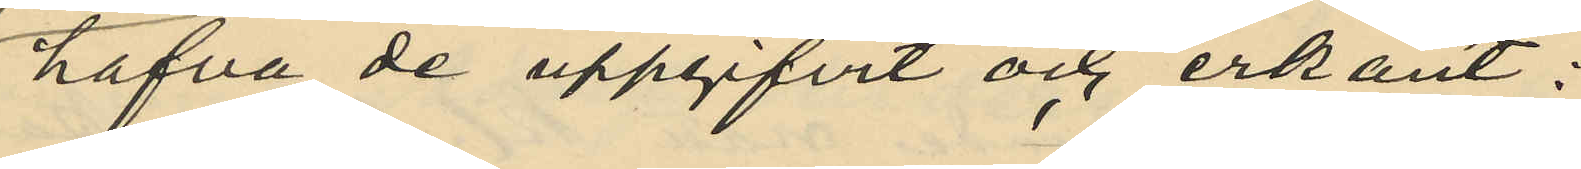hafva de uppgifvit och erkänt:
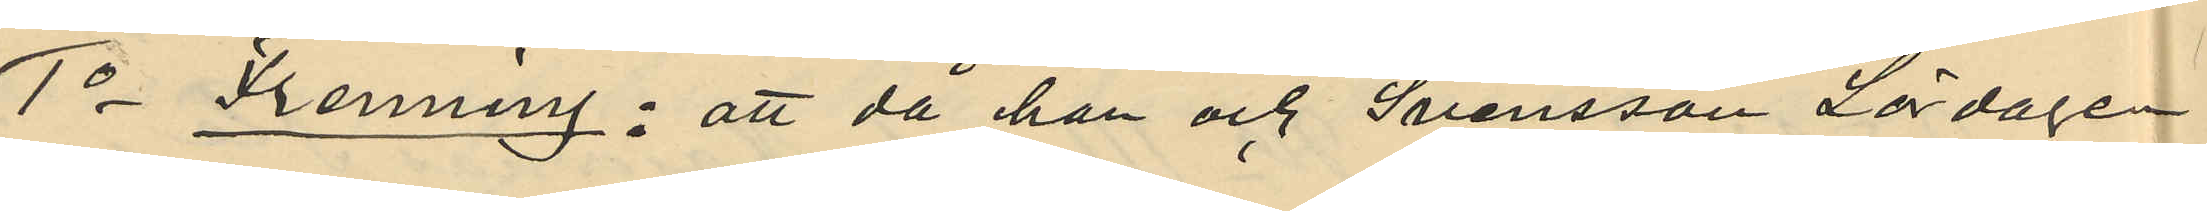1o Frenning: att då han och Svensson Lördagen
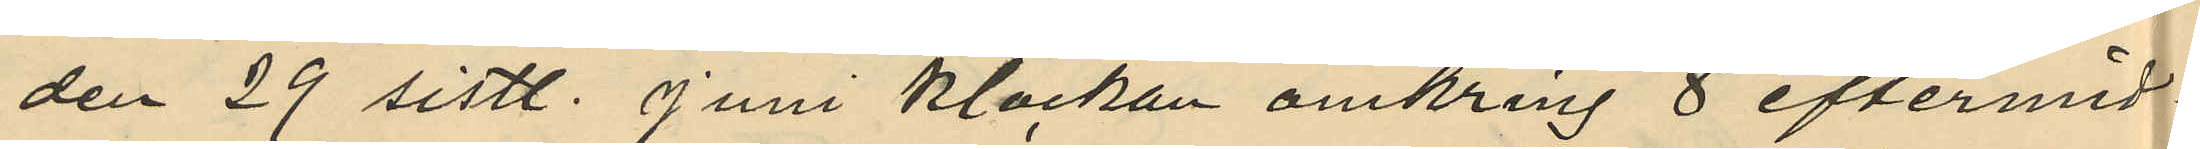den 29 sistl. Juni klockan omkring 8 eftermid¬
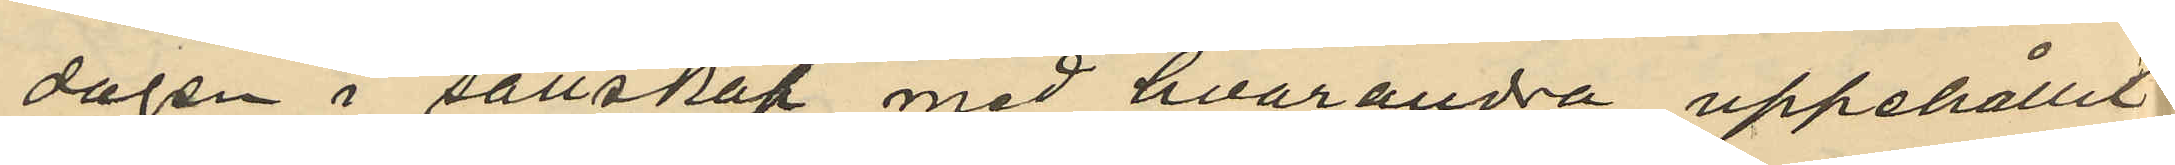dagen i sällskap med hvarandra uppehållit
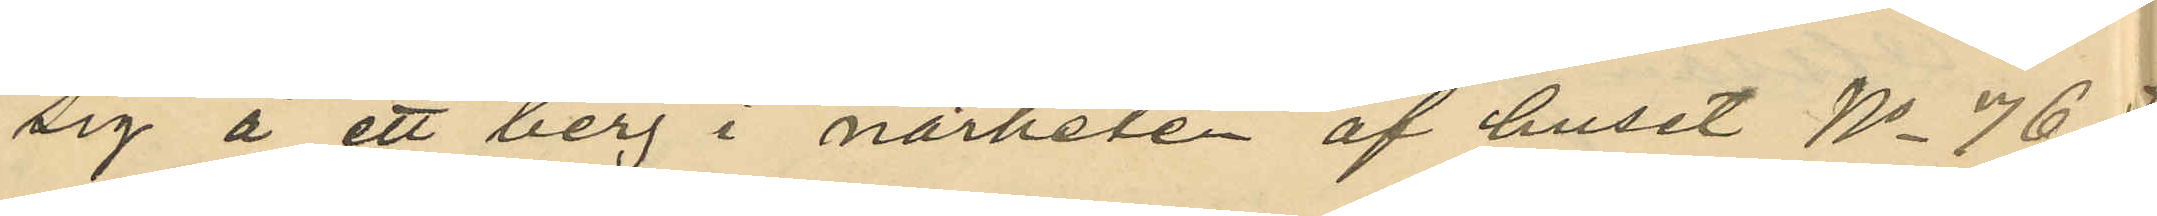sig å ett berg i närheten af huset No 76
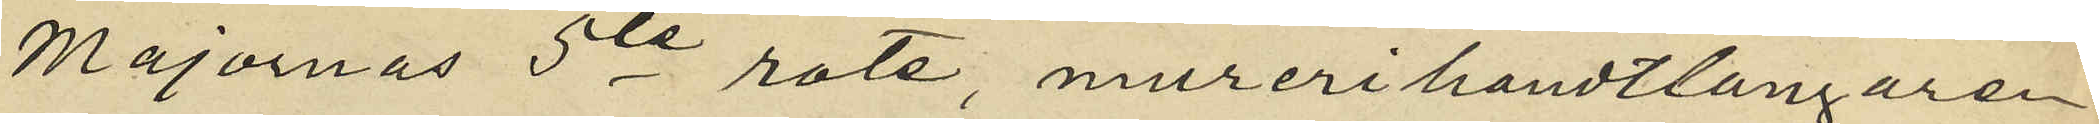Majornas 5te rote, murerihandtlangaren
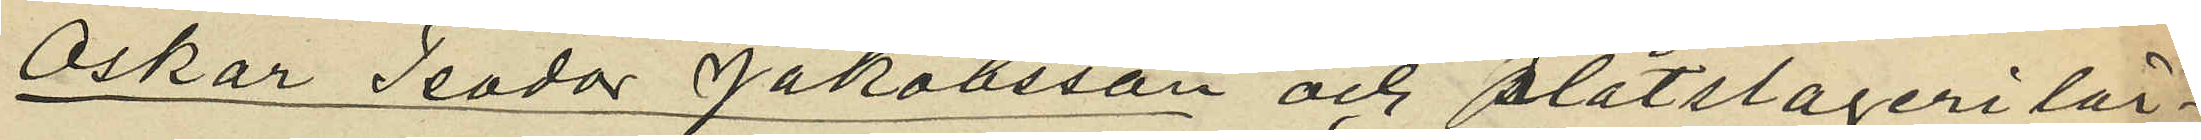Oskar Teodor Jakobsson och plåtslageri lär¬
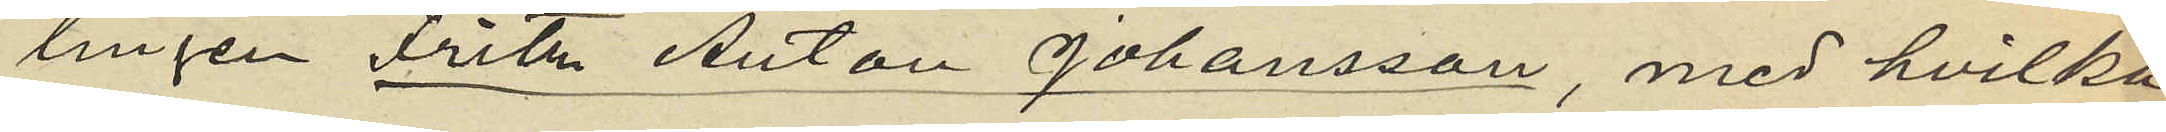lingen Fritz Anton Johansson, med hvilka
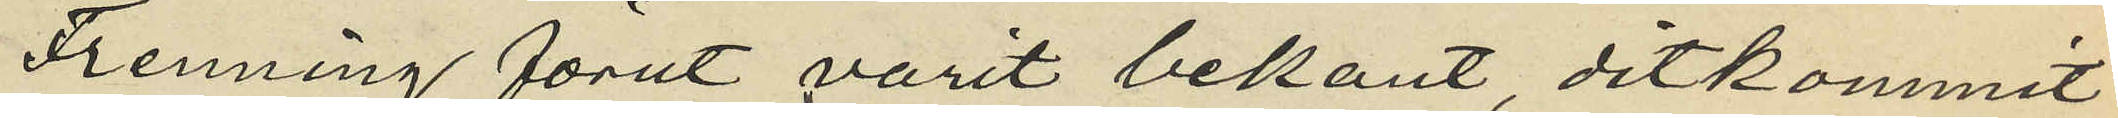Frenning förut varit bekant, ditkommit
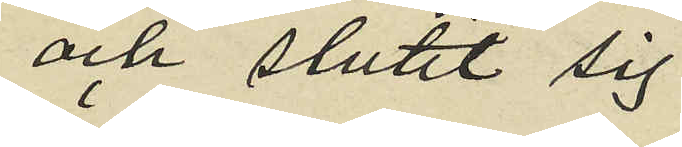och slutit sig
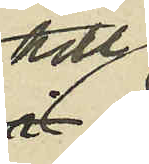till
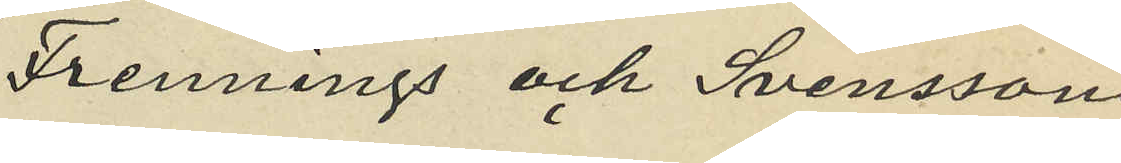Frennings och Svensson
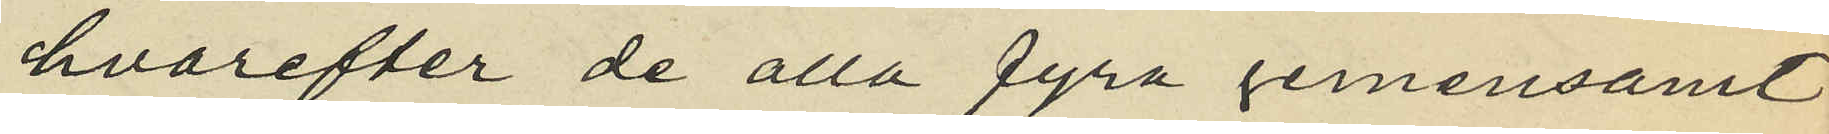hvarefter de alla fyra gemensamt
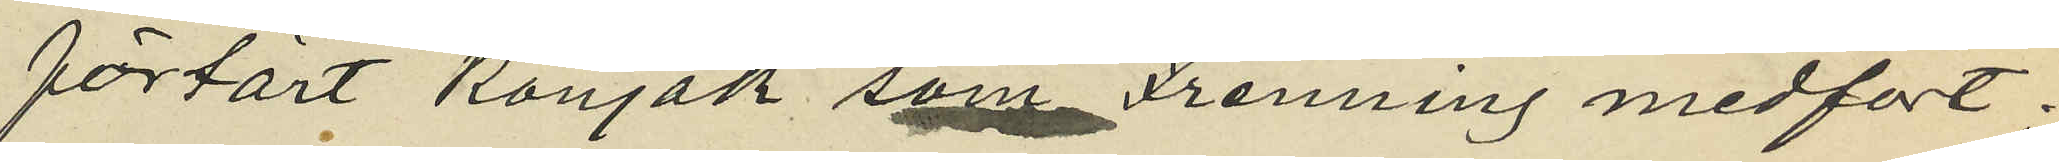förtärt Konjak som Frenning medfört.
